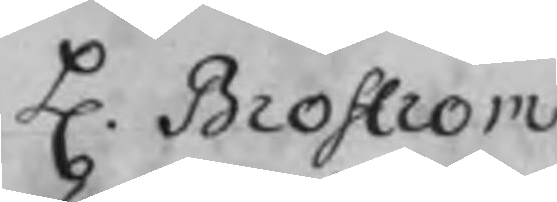H. Broström
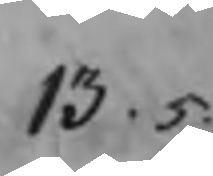13 . 5.
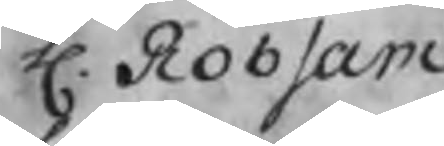H. Robsam
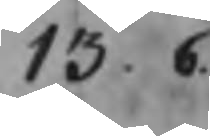13. 6.
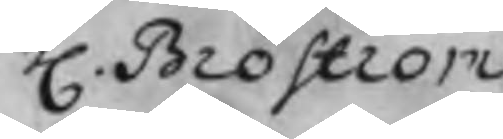H. Broström
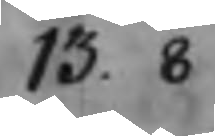13. 8
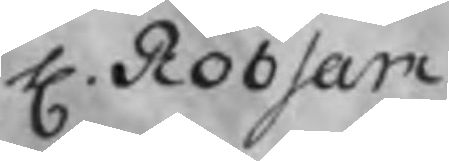H. Robsam
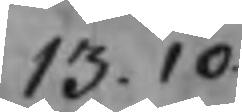13. 10.
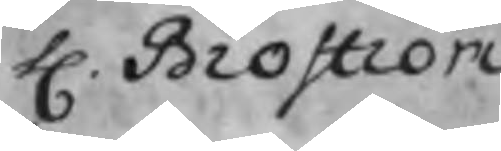H. Broström
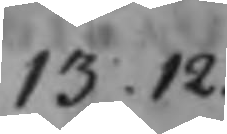13 .12.
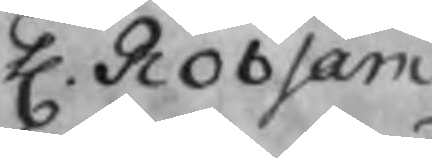H. Robsam
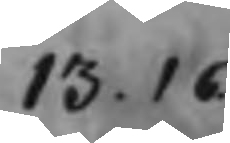13. 16.
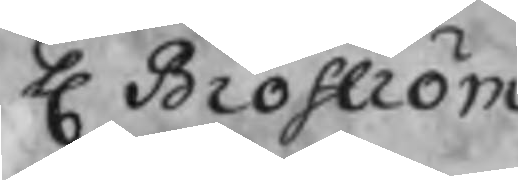H Broström
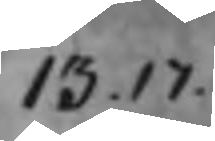13.17.
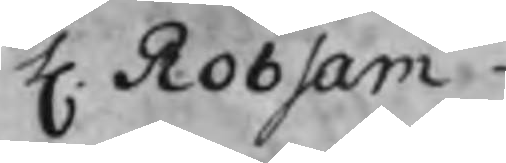H. Robsam
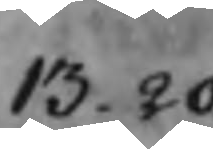13. 20
